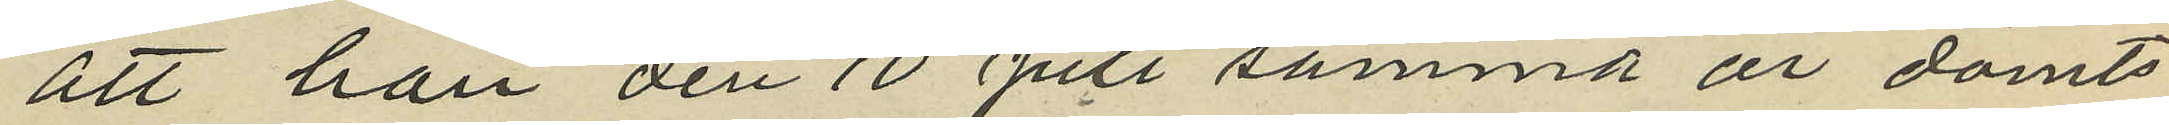att han den 10 Juli samma år dömts
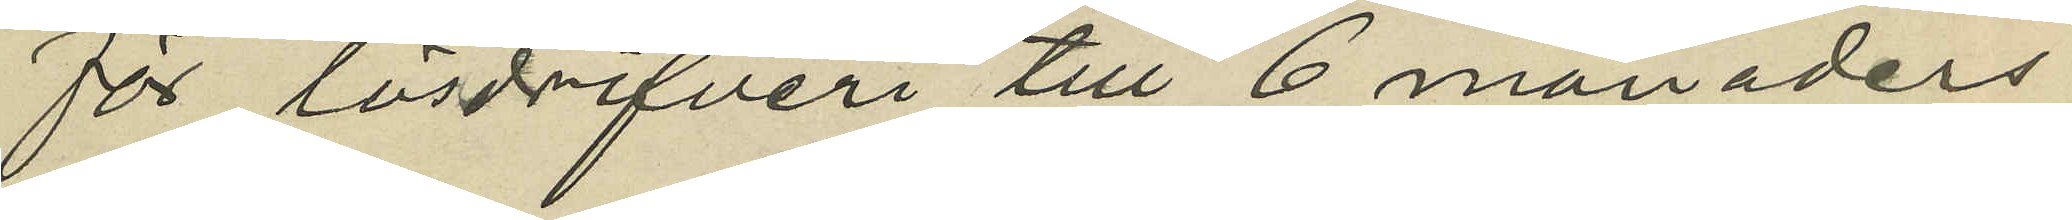för lösdrifveri till 6 månaders
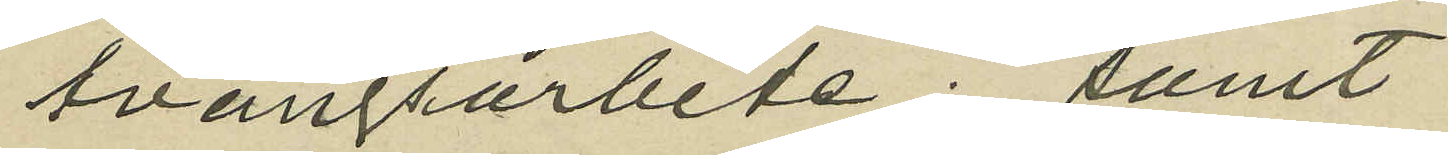tvångsarbete; samt
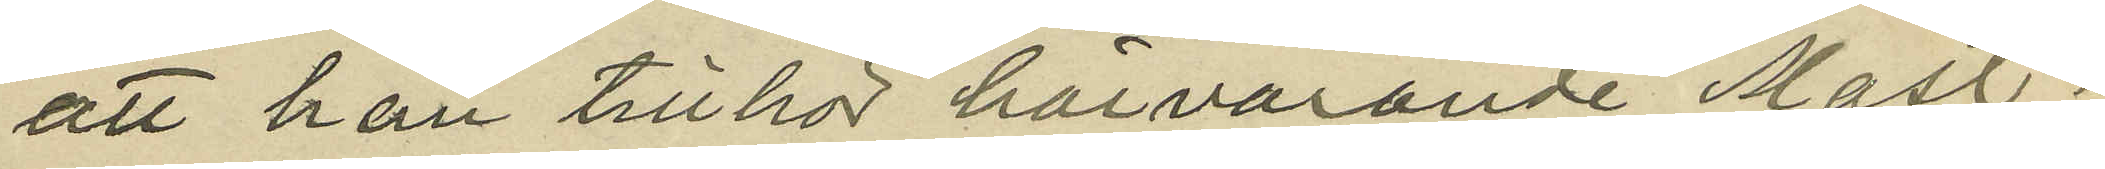att han tillhör härvarande Mast¬
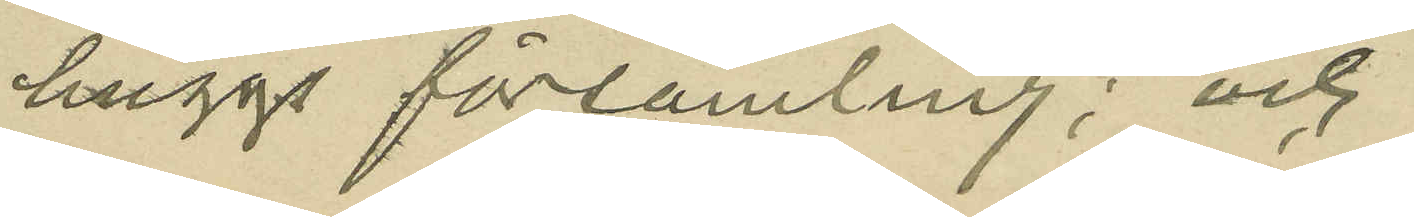huggs församling; och
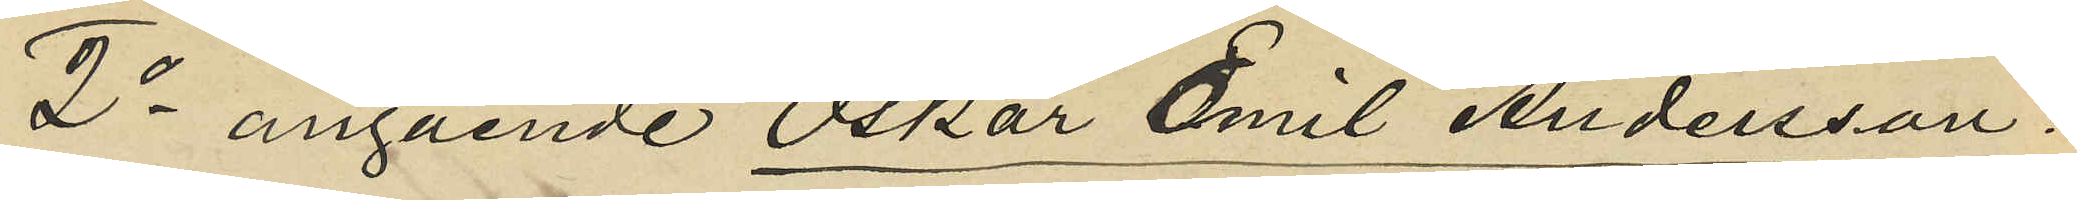2o angående Oskar Emil Andersson:
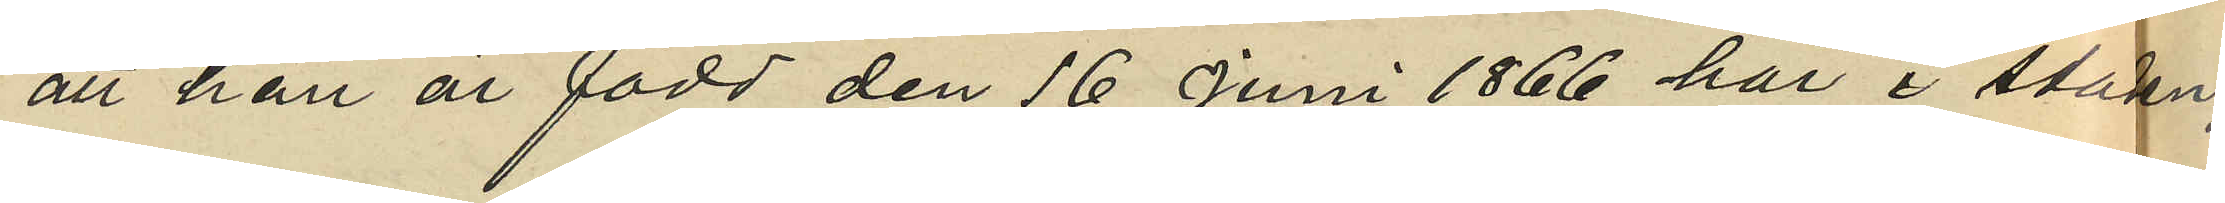att han är född den 16 Juni 1866 här i staden,
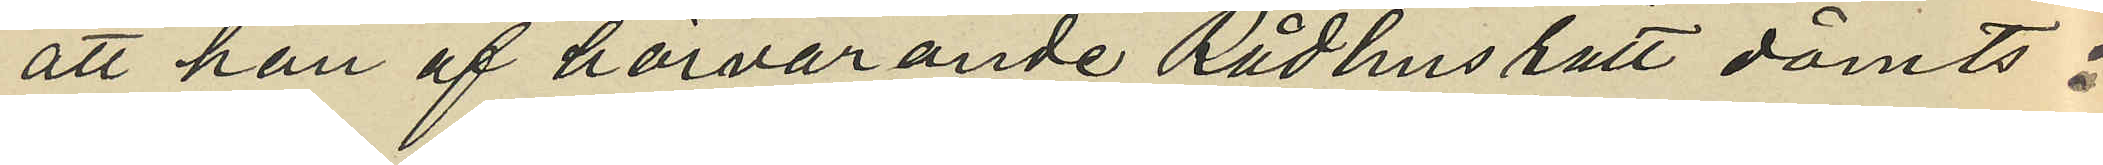att han af härvarande Rådhusrätt dömts:
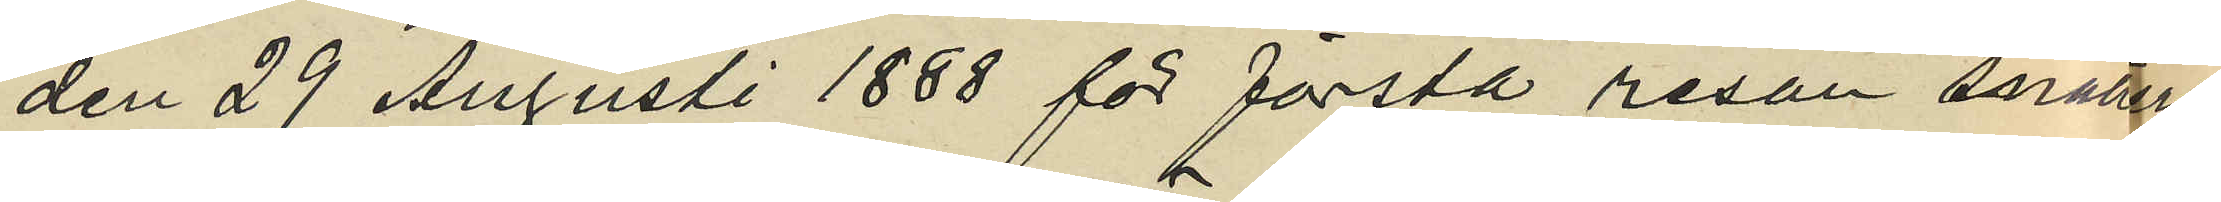den 29 Augusti 1888 för första resan snatteri
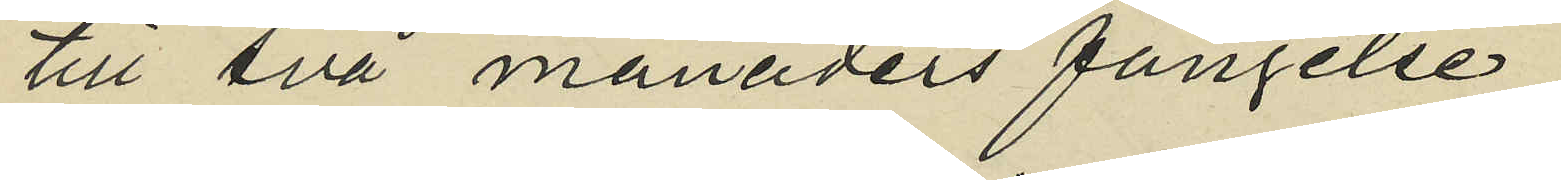till två månaders fängelse;
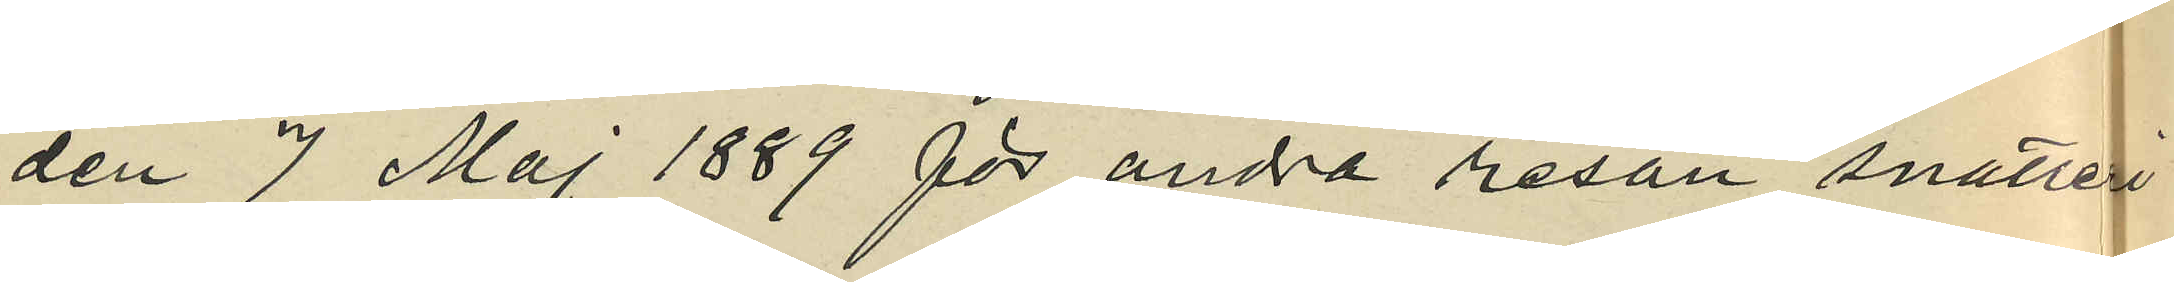den 7 Maj 1889 för andra resan snatteri
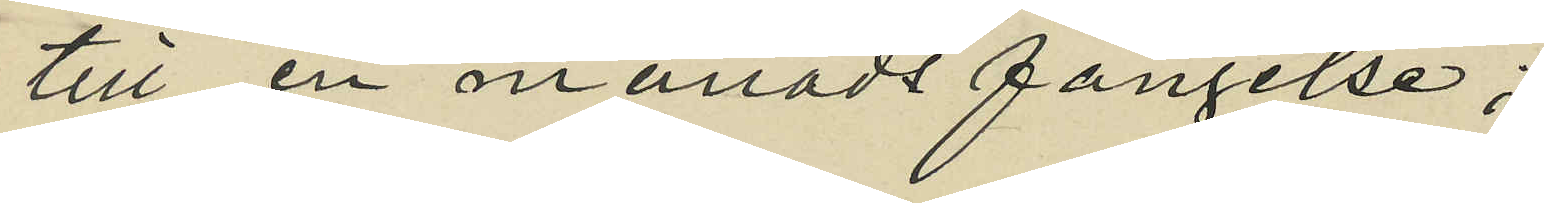till en månads fängelse;
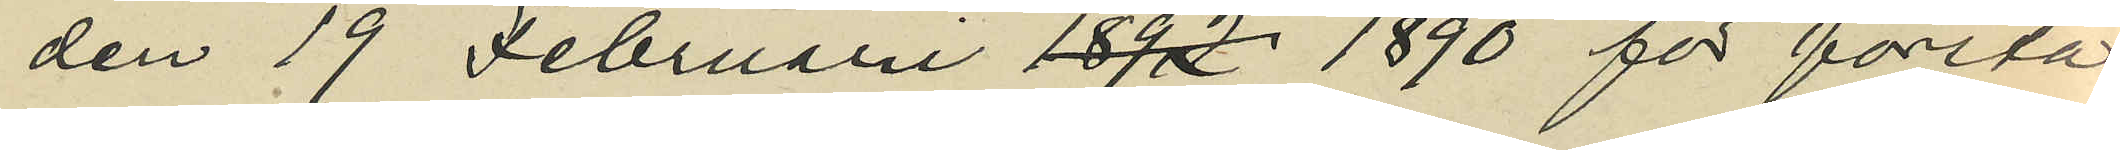den 19 Februari 1890 för första
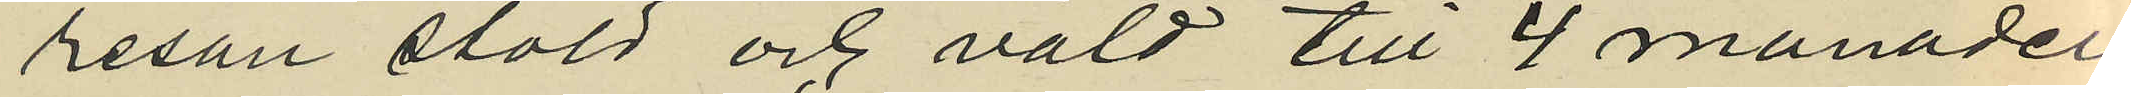resan stöld och våld till 4 månader
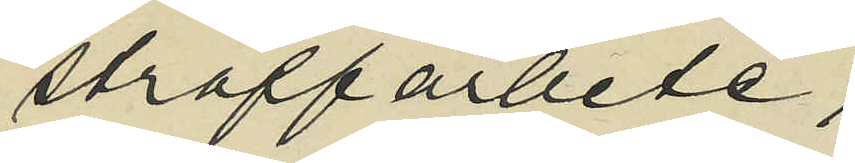straffarbete;
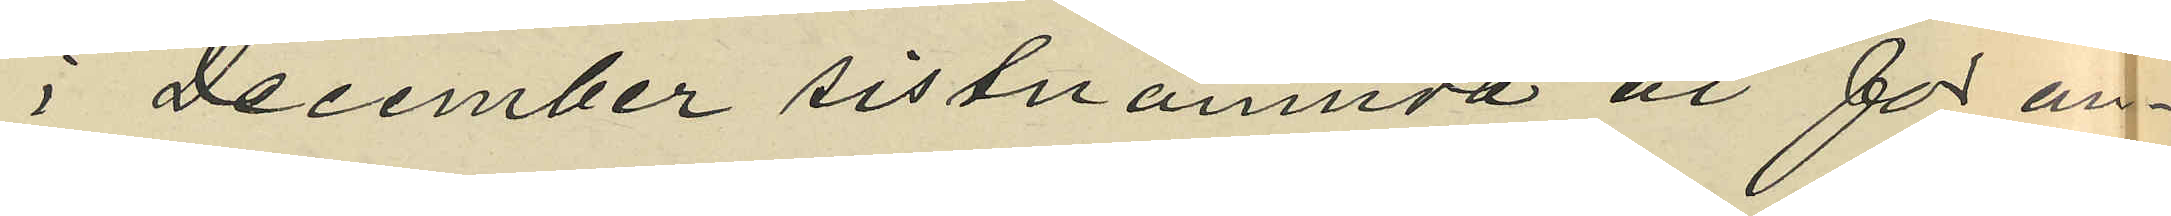i December sistnämnda år för an¬
